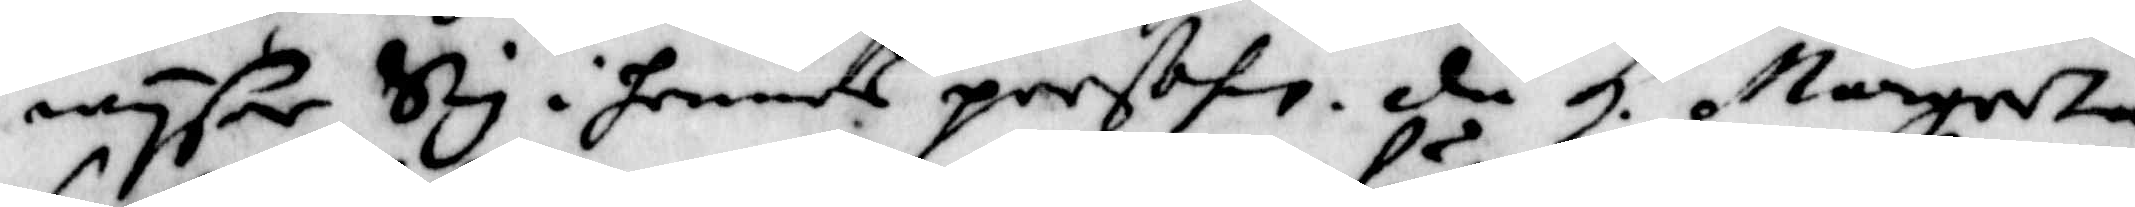wysar Sig i hennes perßon. då H. Margreta
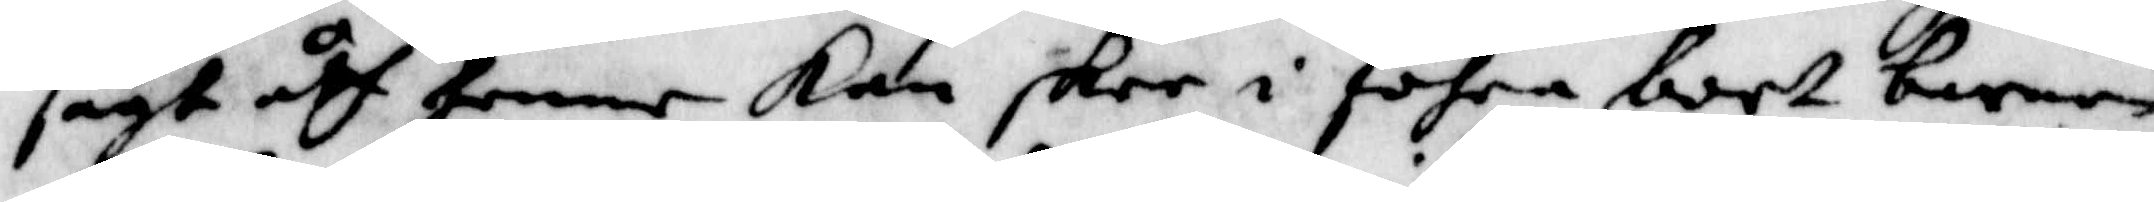sagt åth henne Kan skee i föhra bort barnen
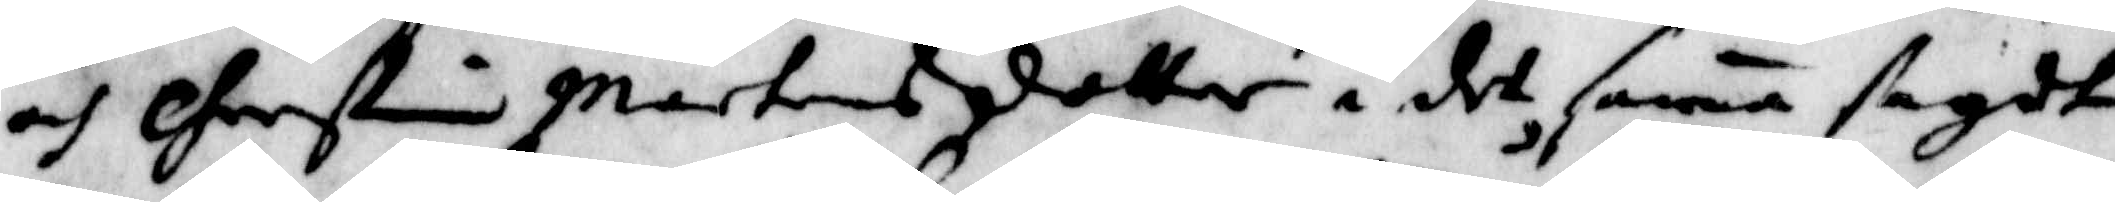och Cherstin Mårtensdotter i det sama sagdt
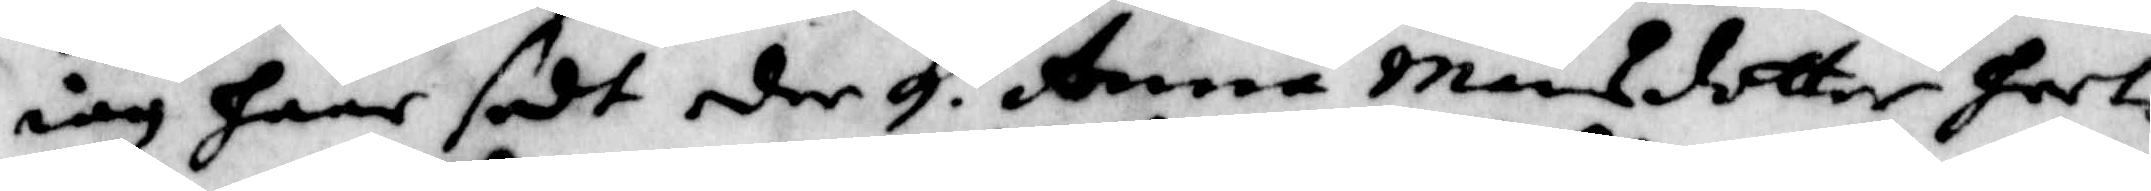iag haar sedt der H. Anna Månsdotter hwl
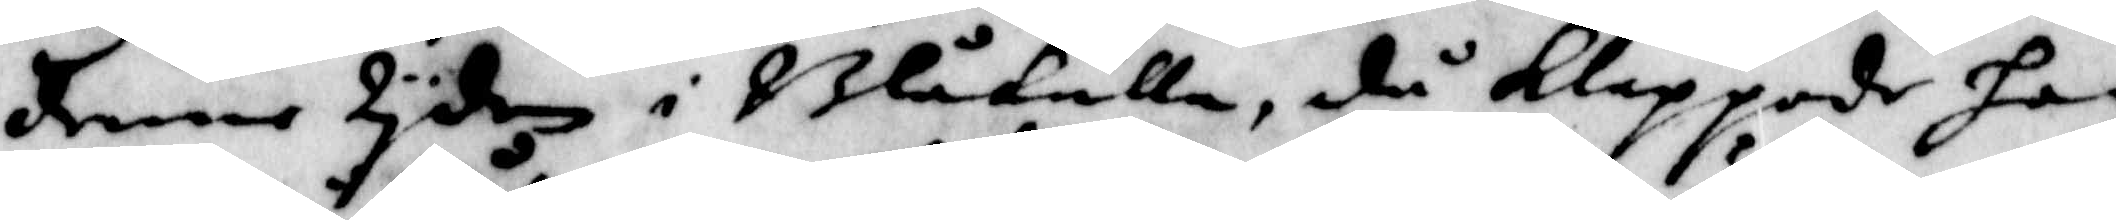denne tyden i Blåkulla, då Klappade han
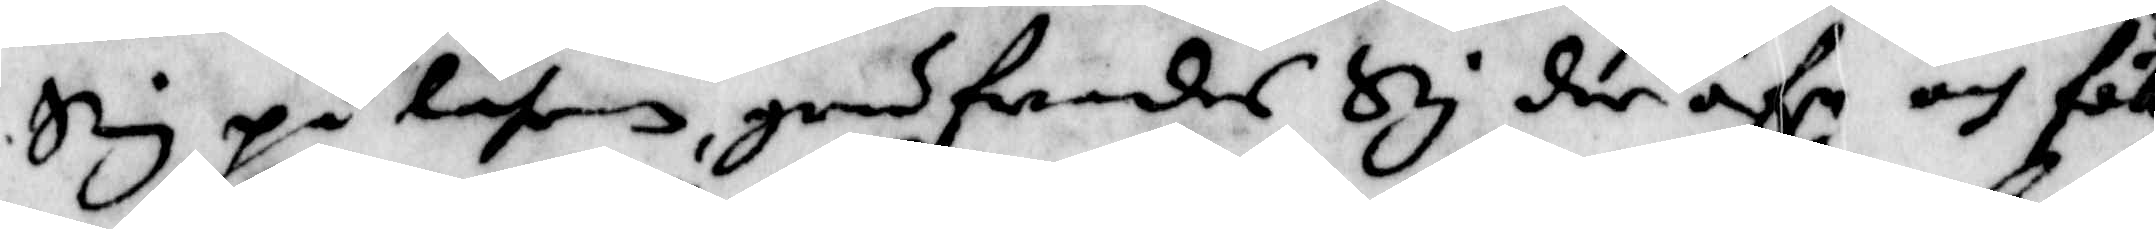Sig på låhren, grufwades Sig der öfr: och föll
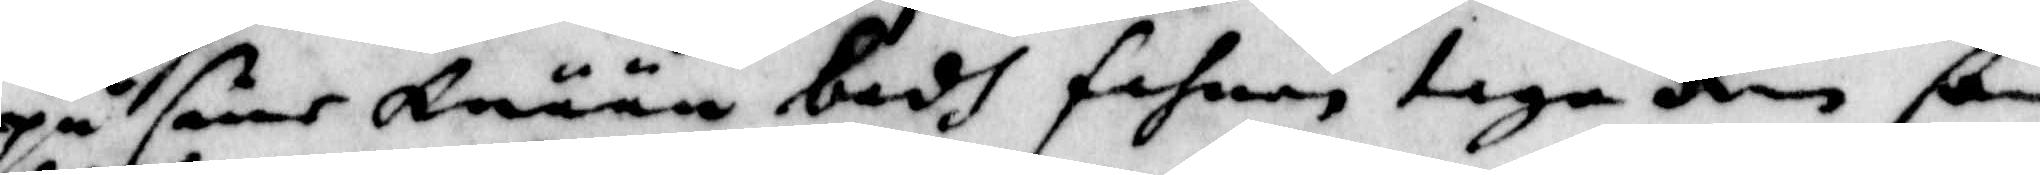på sine Knään badh fahnen taga Rin som
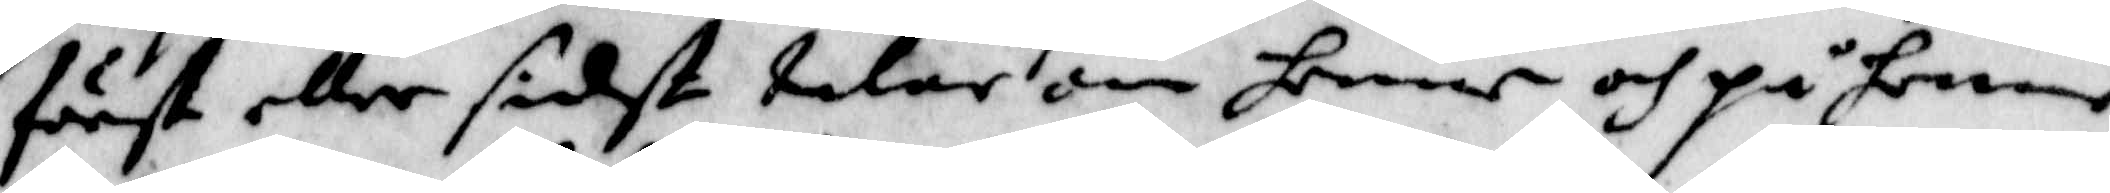först eller sidst talar om henne och på henne
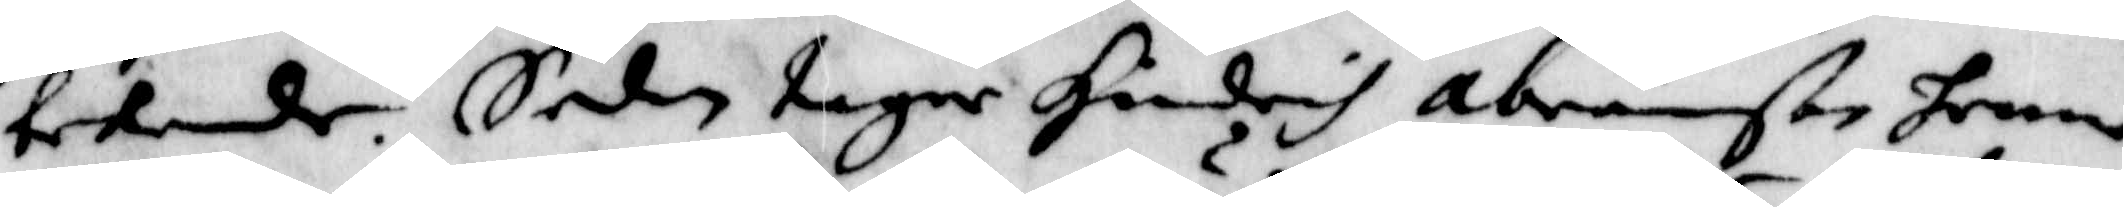bekende. Sedan tager Hindrich abramßon henne
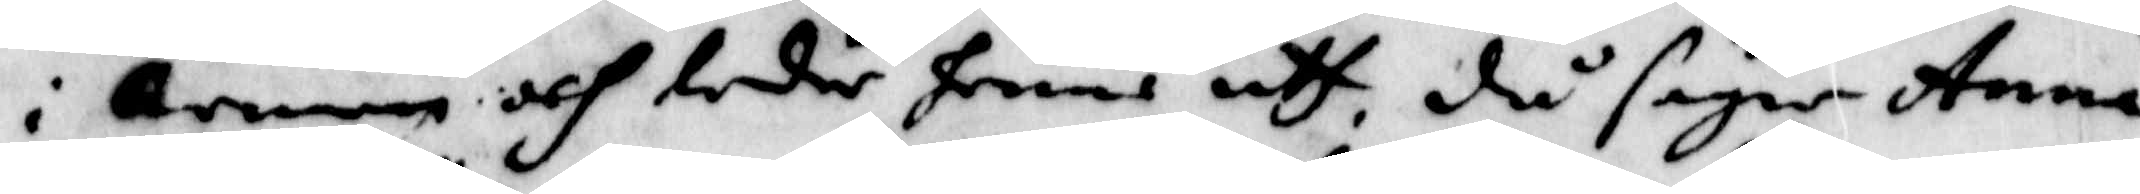i armen och leder henne uth då säger Anna
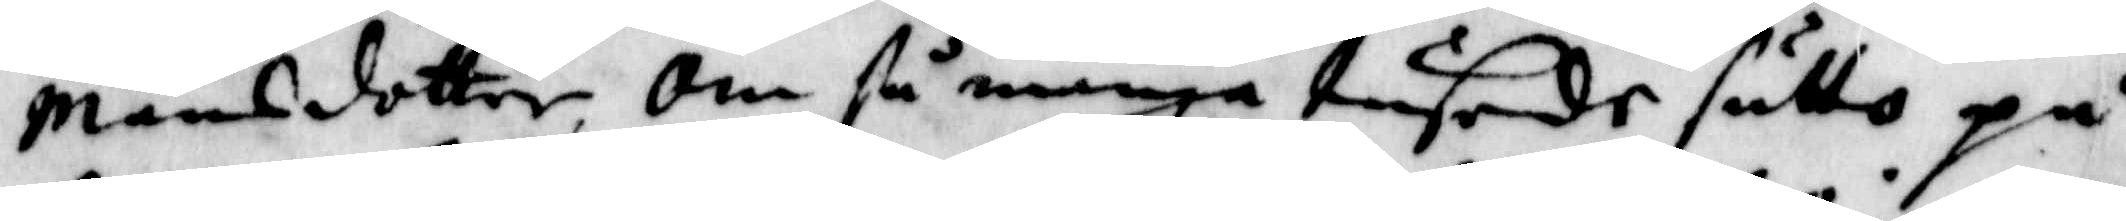Månsdotter, om så många tusende sutto på
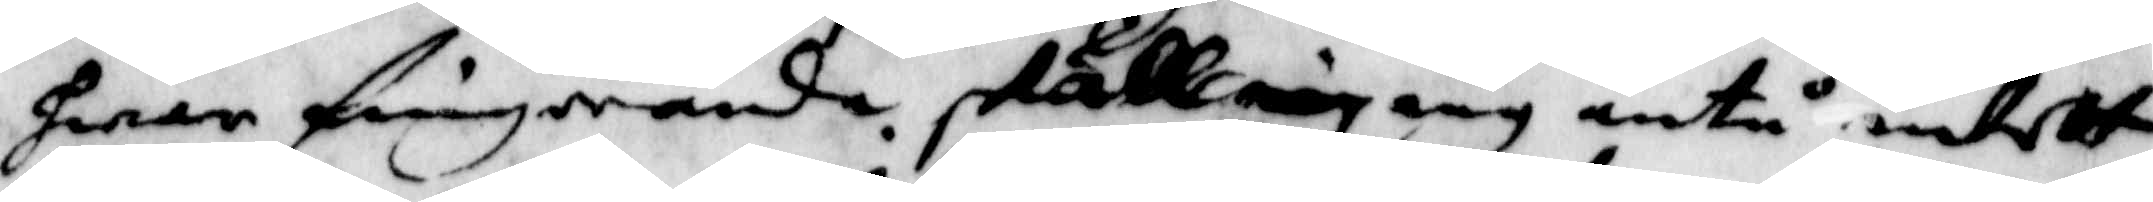hwar fingerända skulle iag iag äntå intett
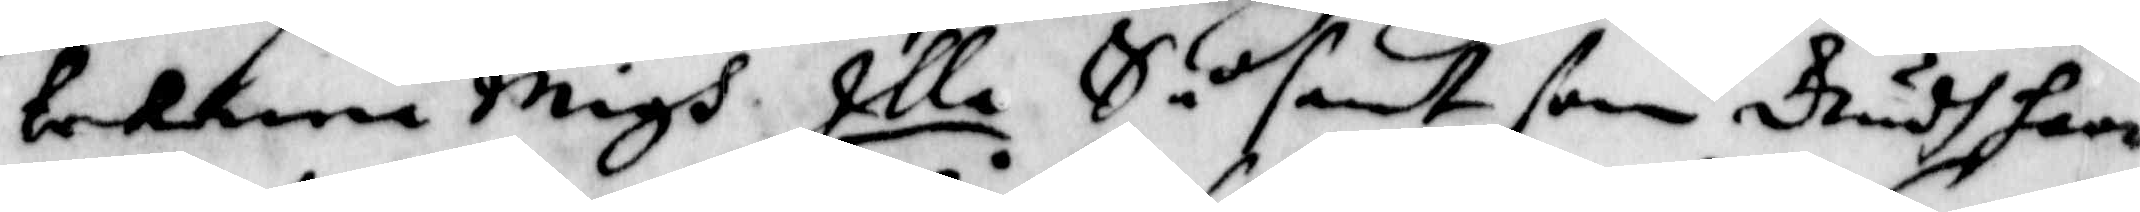bekenna Migh Illa Så sant som Gudh haar
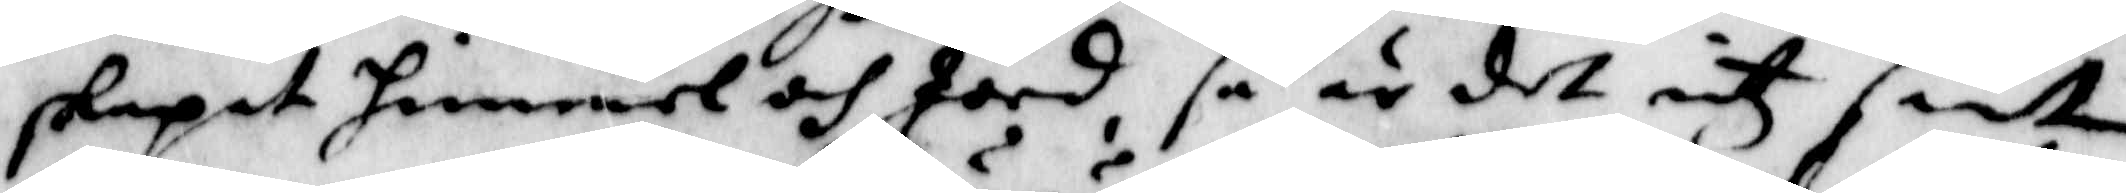skapat himmel och Jord, så är det intz sant
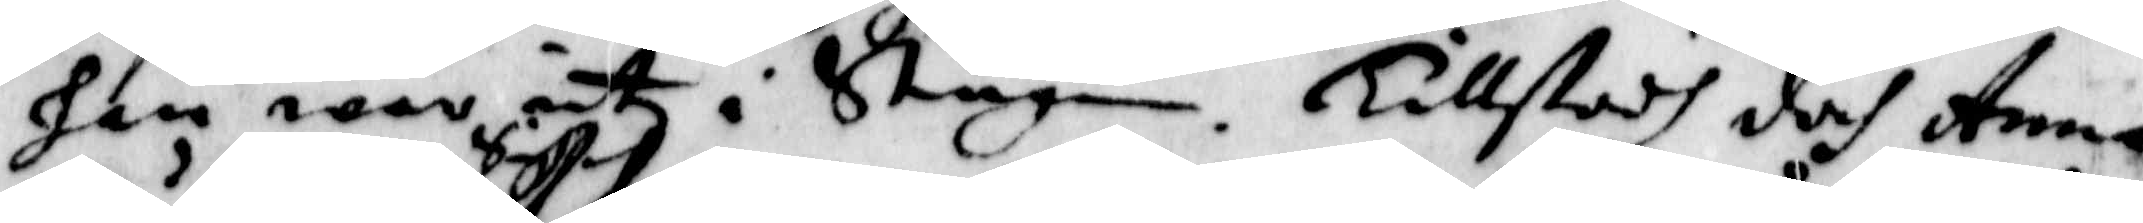han war intz i Stugun. Tillstodh doch Anna
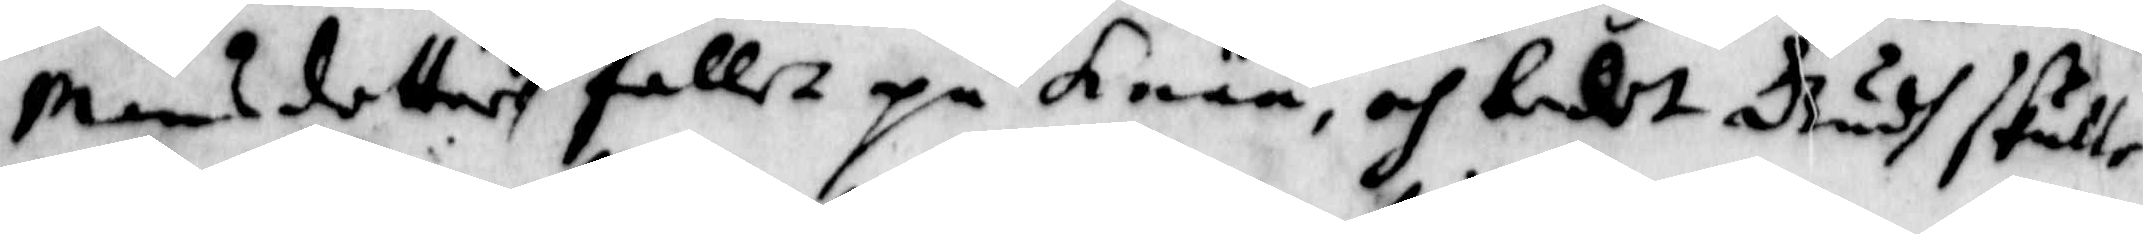Månsdotter Sigh fallet på Knää, och bedet Gudh skulle
